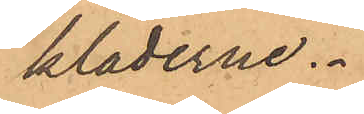kläderne.
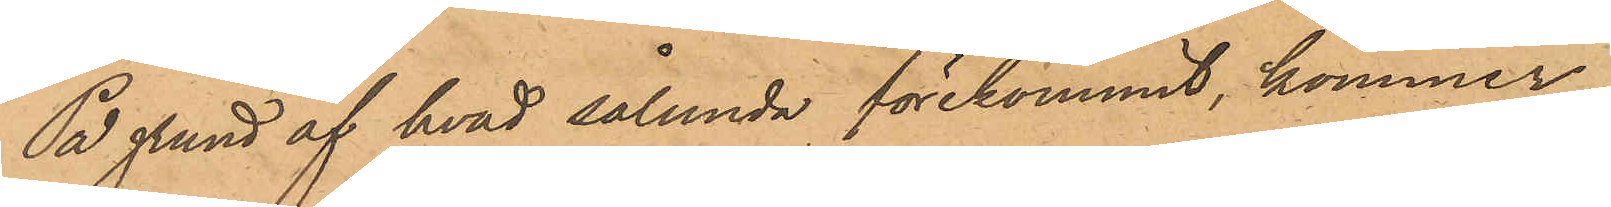På grund af hvad sålunda förekommit, kommer
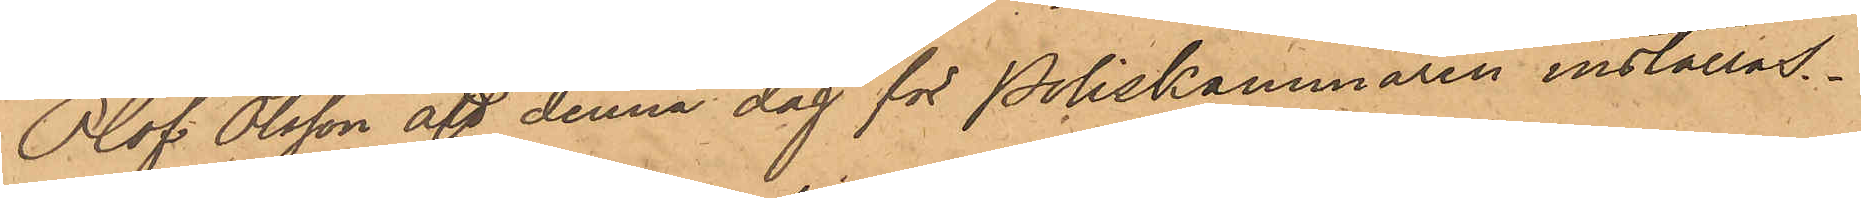Olof Olsson att denna dag för Poliskammaren inställas.
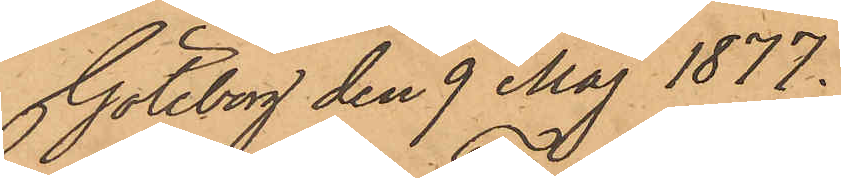Göteborg den 9 Maj 1877.
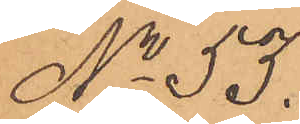No 53.
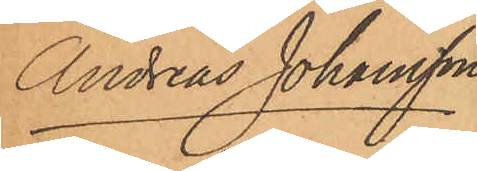Andreas Johansson
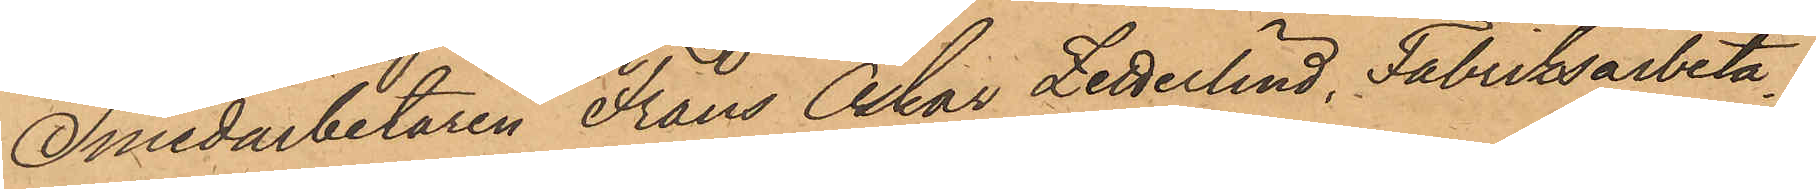Smedarbetaren Frans Oskar Zetterlind, Fabriksarbeta¬
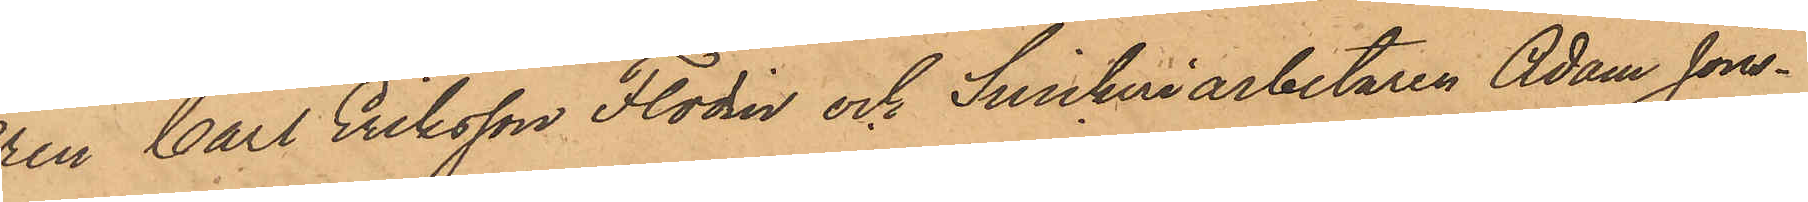ren Carl Eriksson Flodin och Snickeriarbetaren Adam Jöns¬
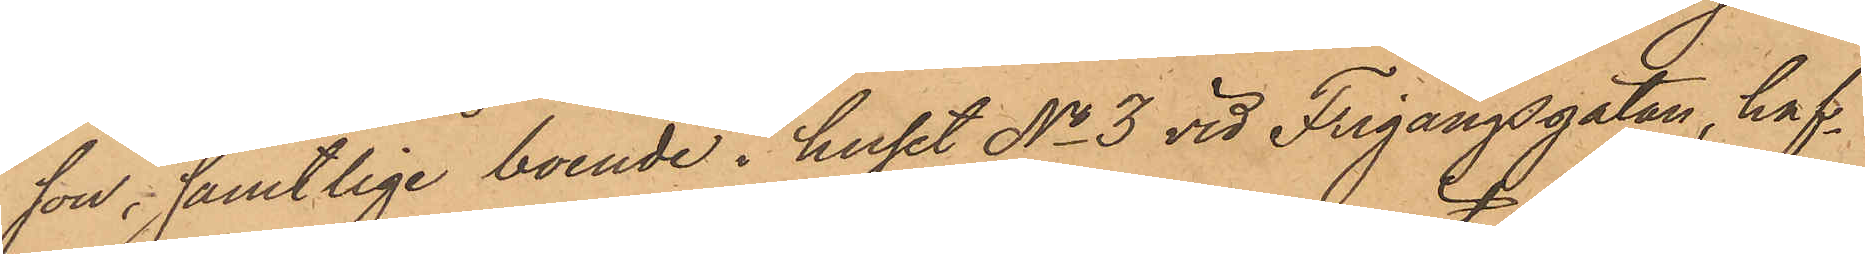son; samtlige boende i huset No 3 vid Frigångsgatan, haf¬
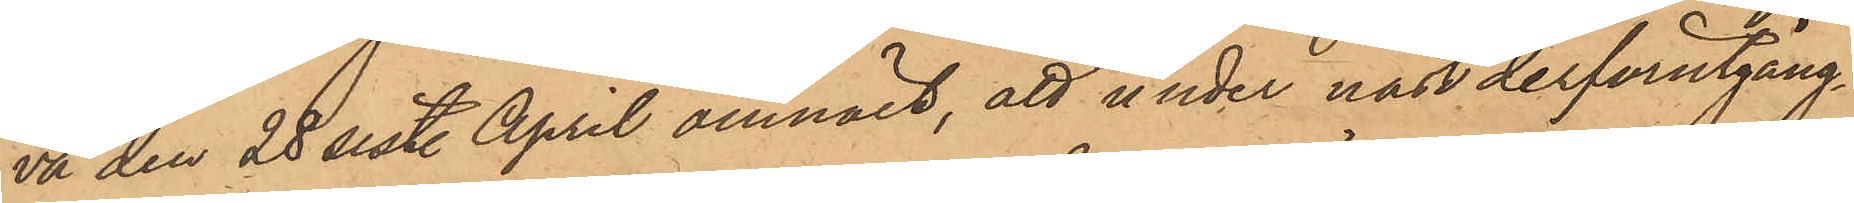va den 28 sist. April anmält, att under näst derförutgång¬
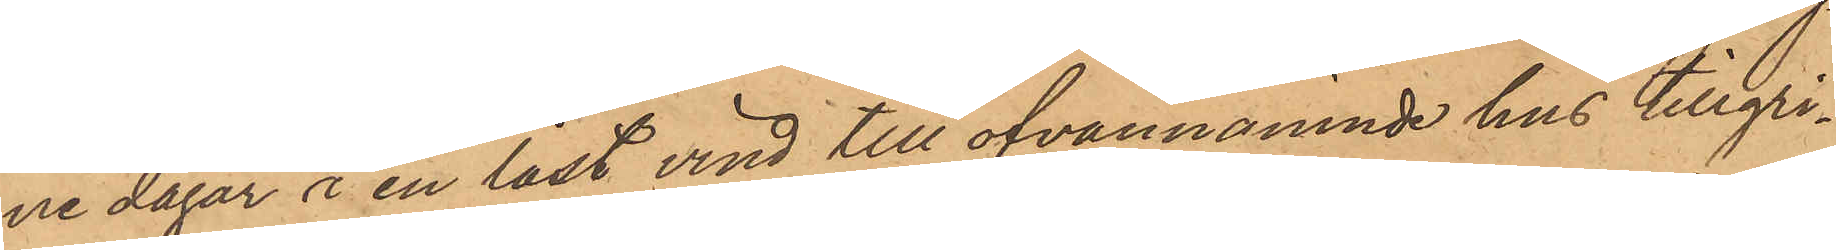ne dagar i en låst vind till ofvannämnde hus tillgri¬
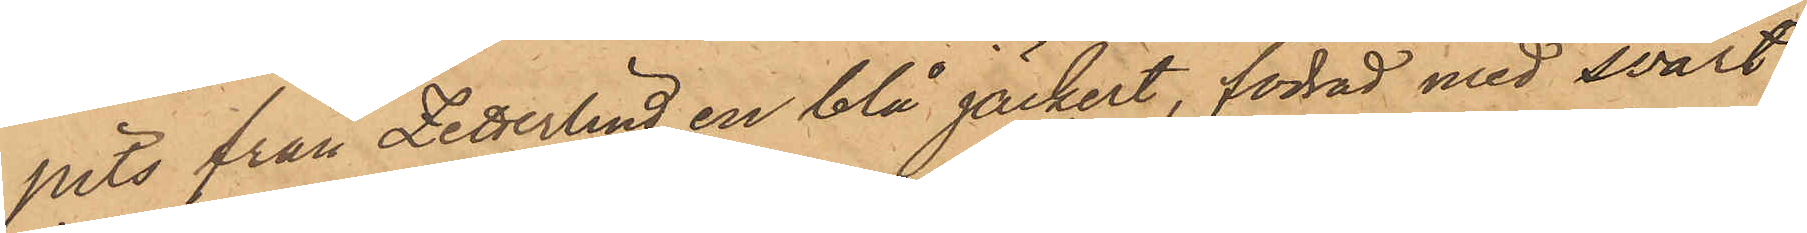pits från Zetterlind en blå jäckert, fodrad med svart
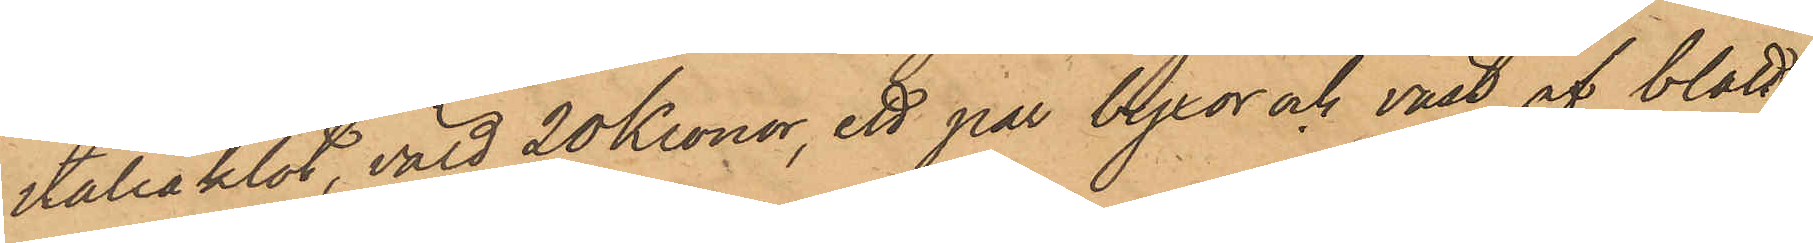italiaklot, värd 20 Kronor, ett par byxor och väst af blått
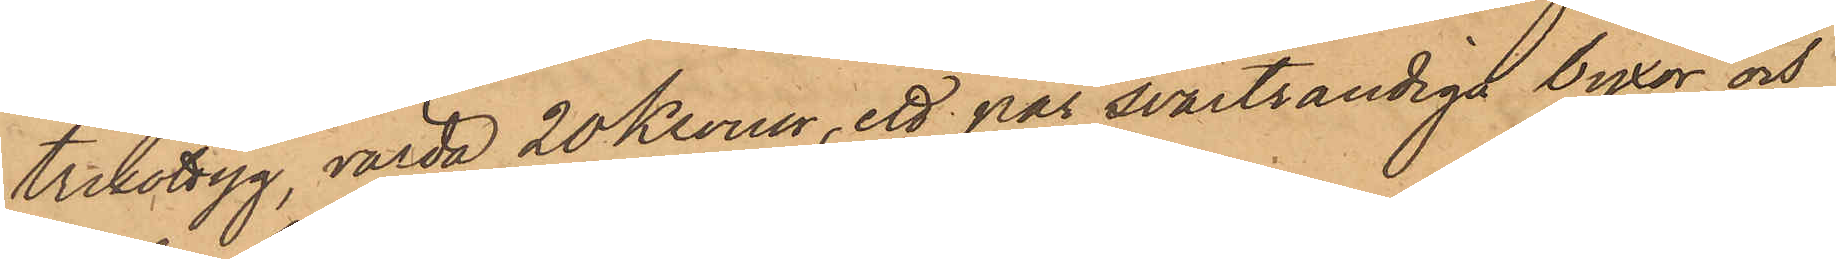trikottyg, värda 20 Kronor, ett par svartrandiga byxor och
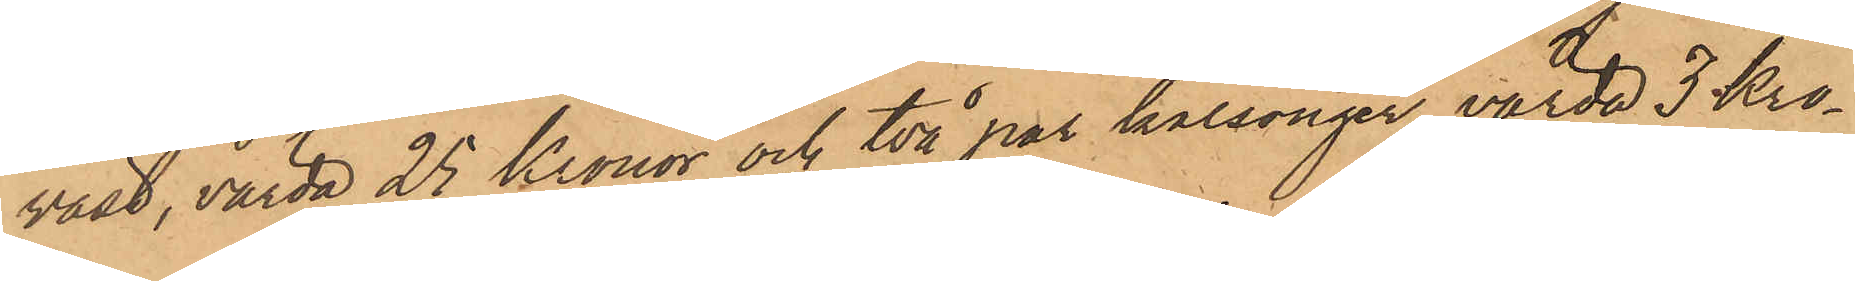väst, värda 25 Kronor och två par kalsonger, värda 3 Kro¬
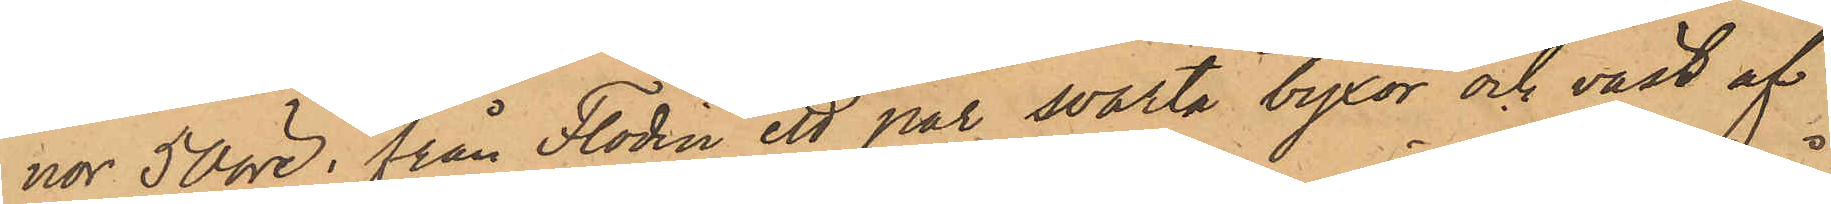nor 50 öre, från Flodin ett par svarta byxor och väst af
